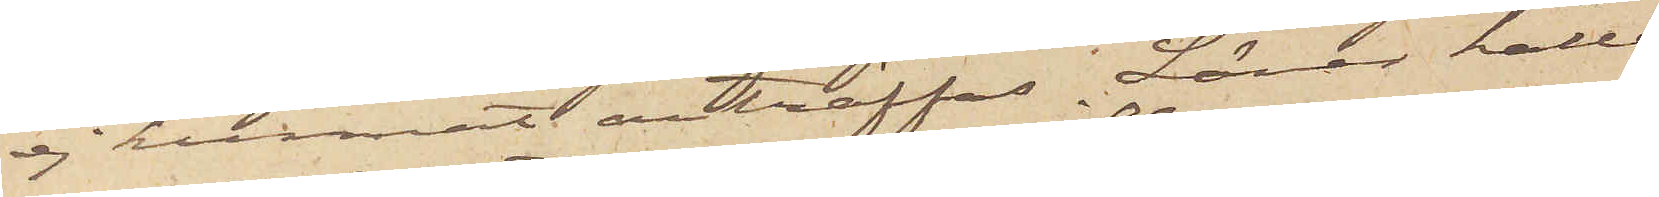ej kunnat anträffas. Lärer hålla
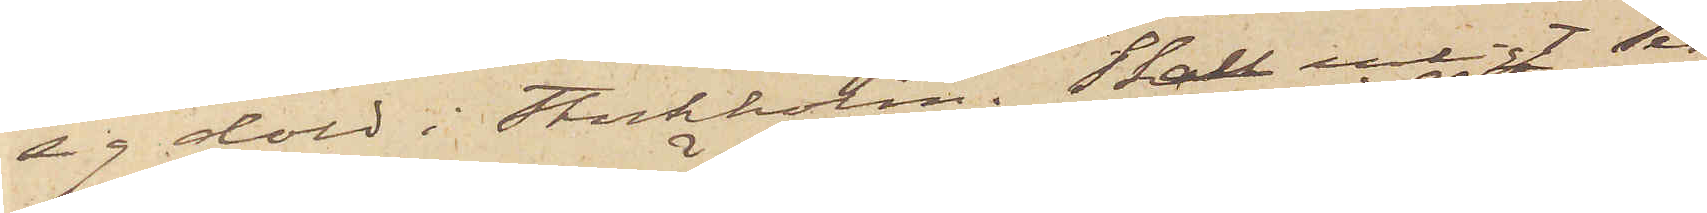sig dold i Stockholm. Skall enligt sed¬
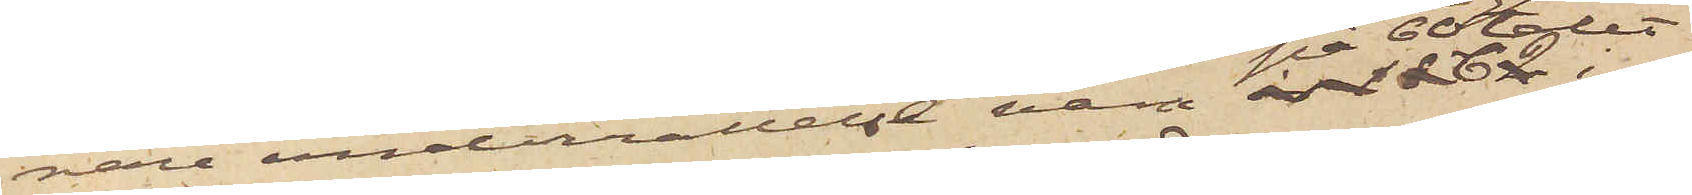nare underrättelse vara på 60-talet i            
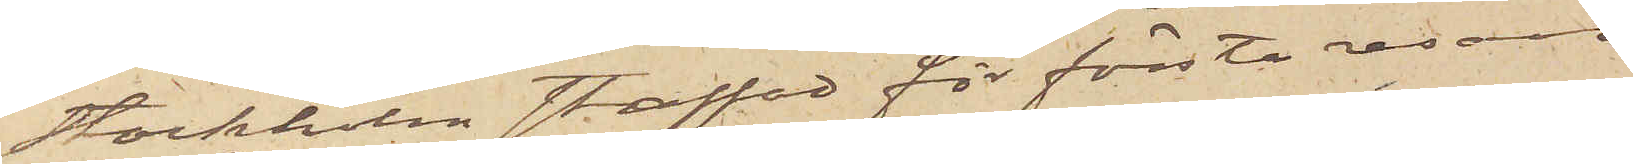Stockholm straffad för första resan
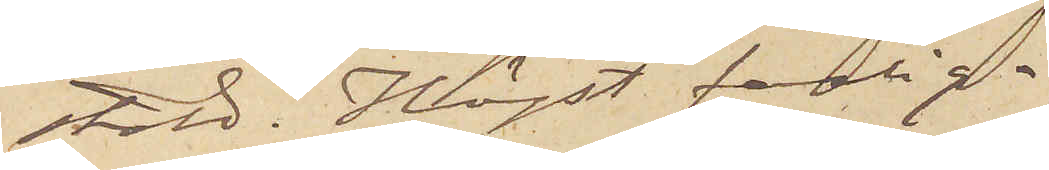stöld. Högst farlig.
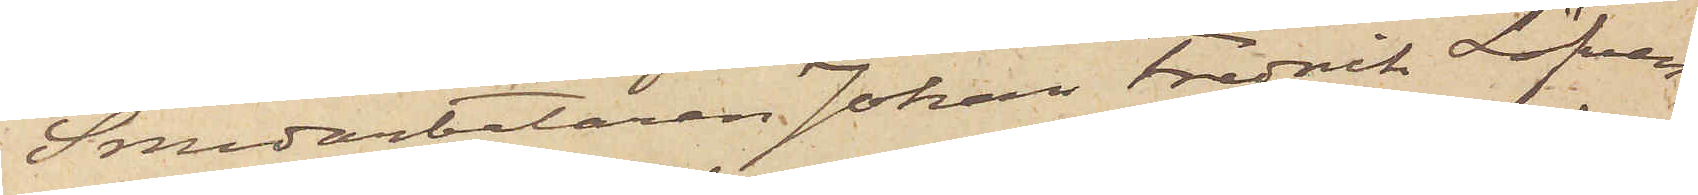Smedarbetaren Johan Fredrik Löfven¬
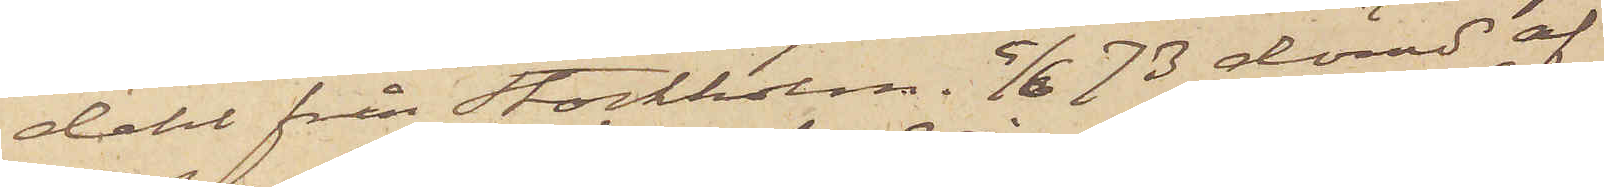dahl från Stockholm. 5/6 73 dömd af
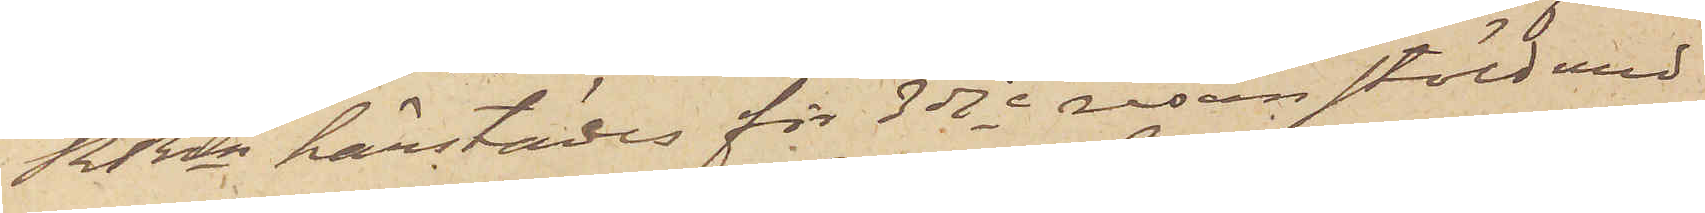RRen härstädes för 3dje resan stöld med
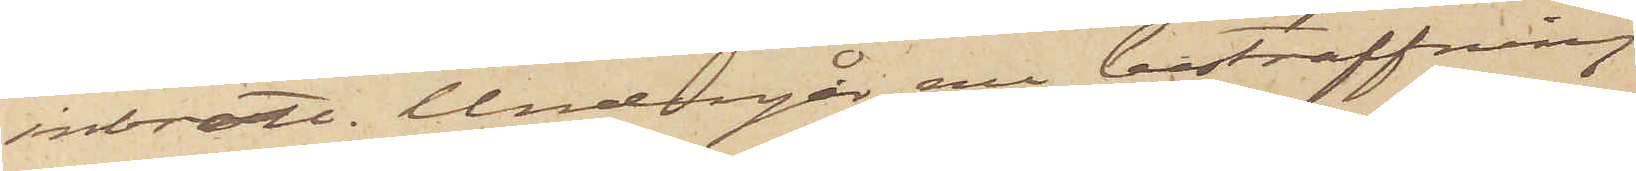inbrott. Undergår nu bestraffning
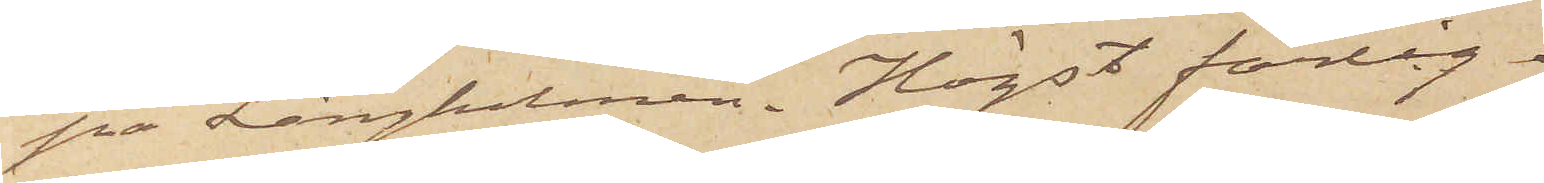på Långholmen. Högst farlig.
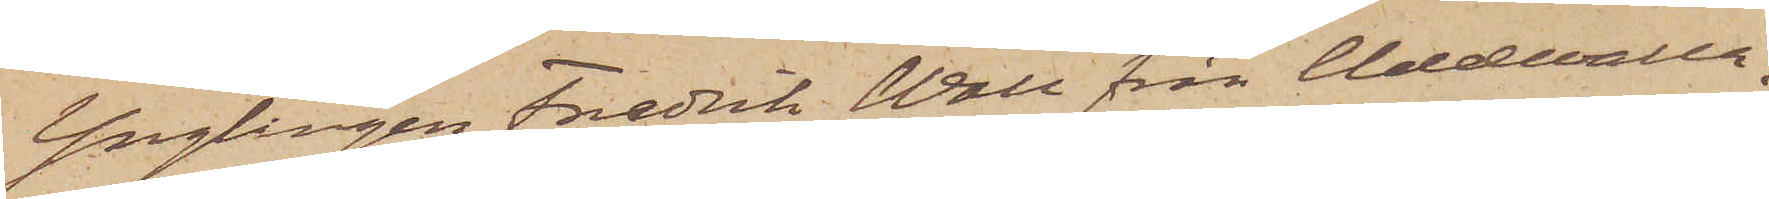Ynglingen Fredrik Wall från Uddevalla,
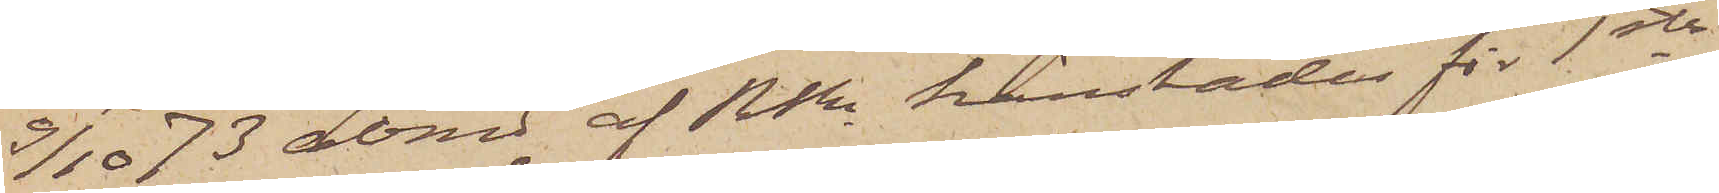9/10 73 dömd af RRn härstädes för 1sta
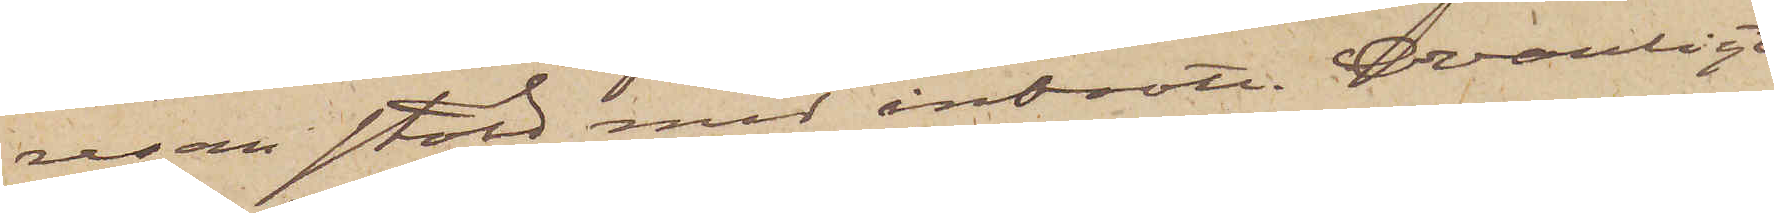resan stöld med inbrott Ovanligt
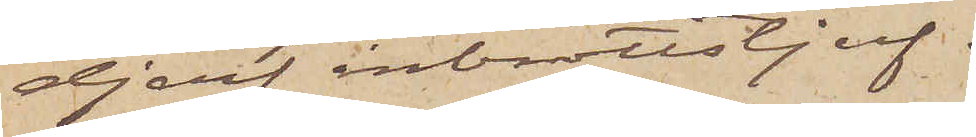djerf inbrottstjuf.
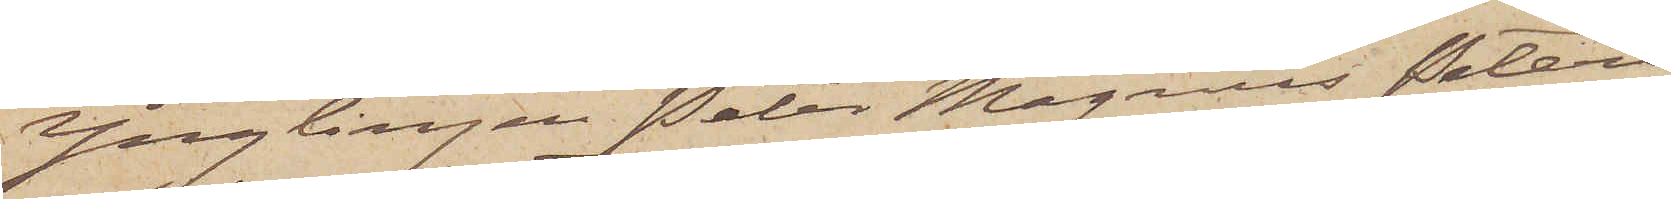Ynglingen Peter Magnus Peters¬
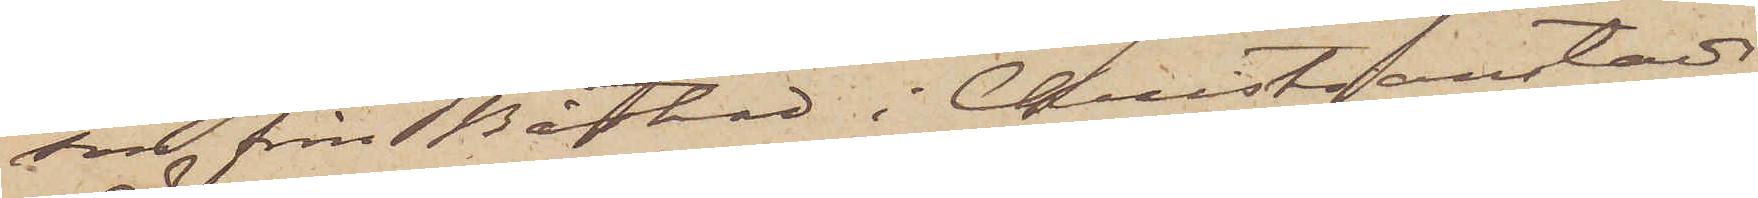son från Båstad i Christianstads
